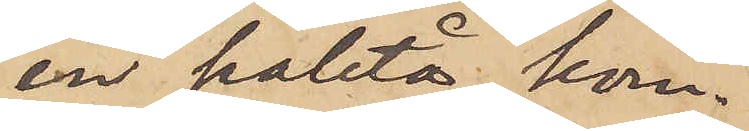en paletå kom¬
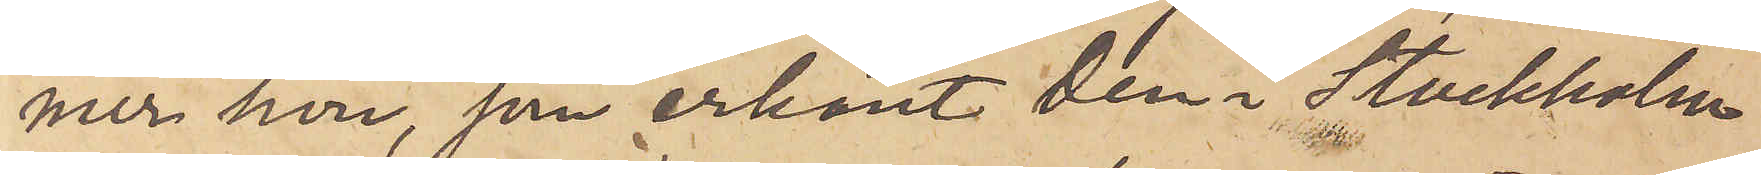mer hon, som erkänt den i Stockholm
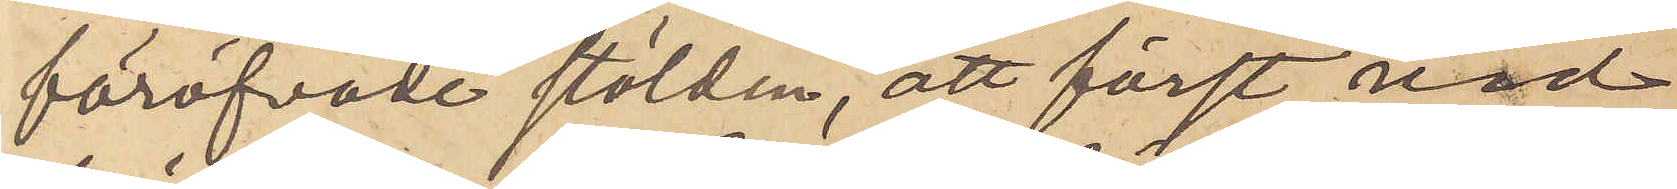föröfvade stölden, att först vid
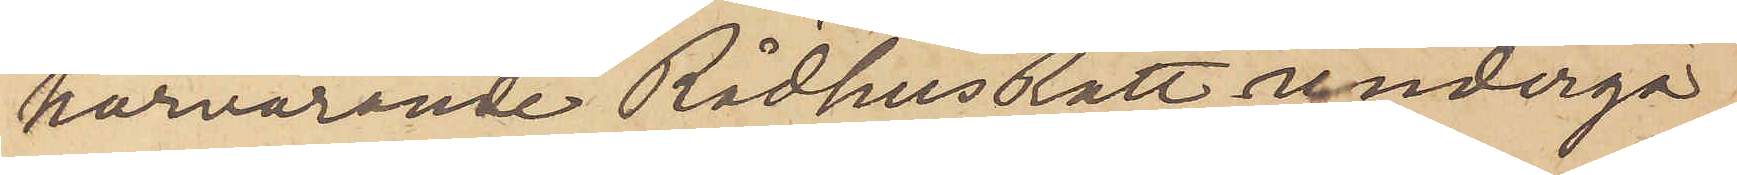härvarande RådhusRätt undergå
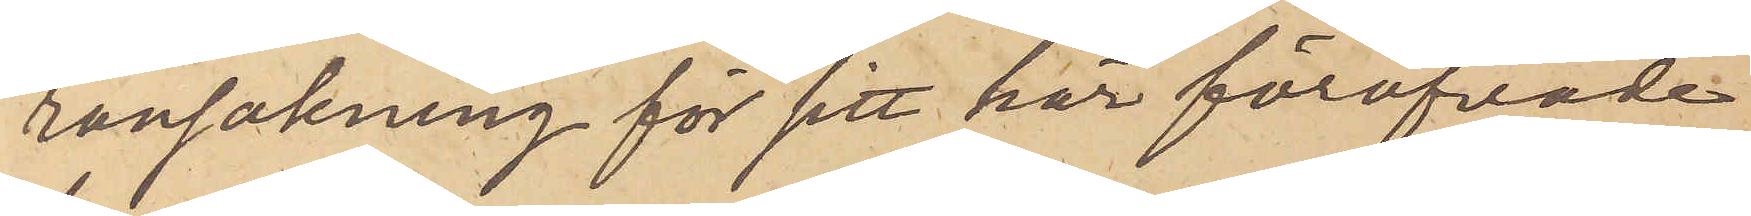ransakning för sitt här föröfvade
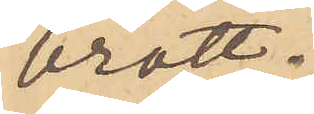brott.
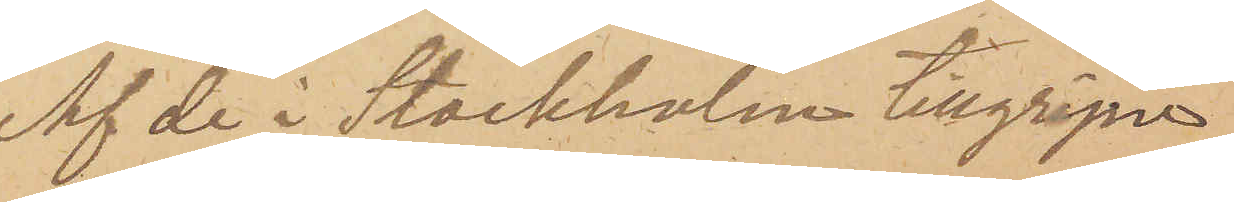Af de i Stockholm tillgripne
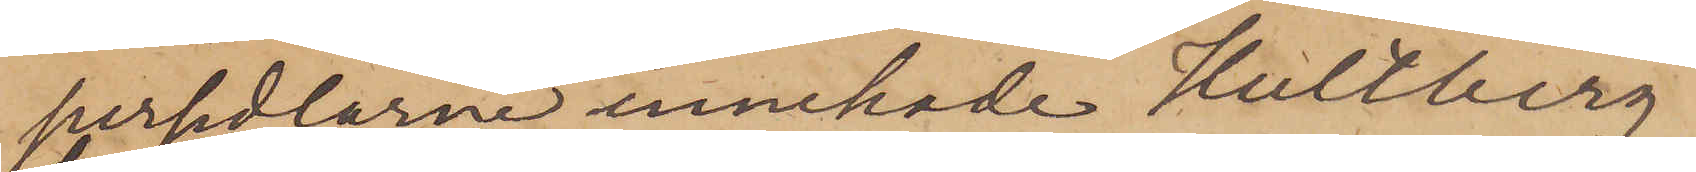persedlarne innehade Hultberg
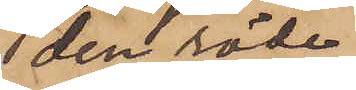den röde
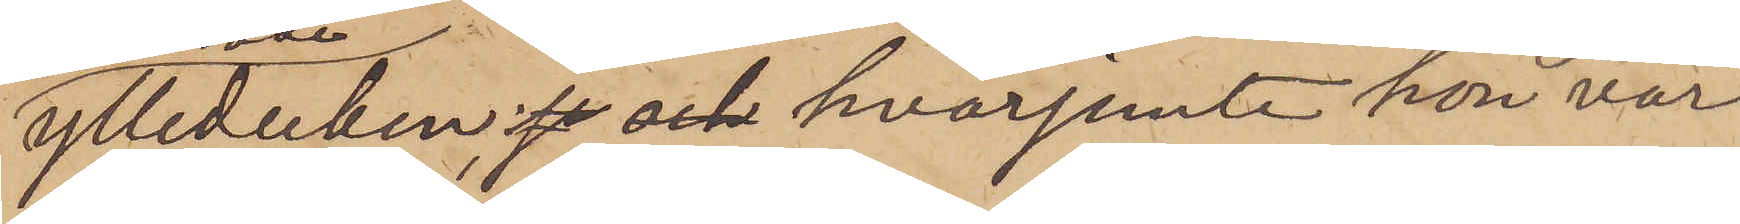ylleduken;  hvarjemte hon var
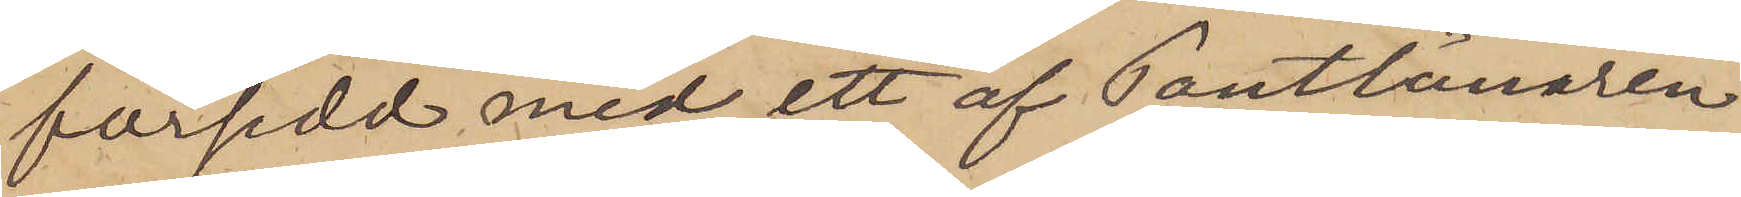försedd med ett af Pantlånaren
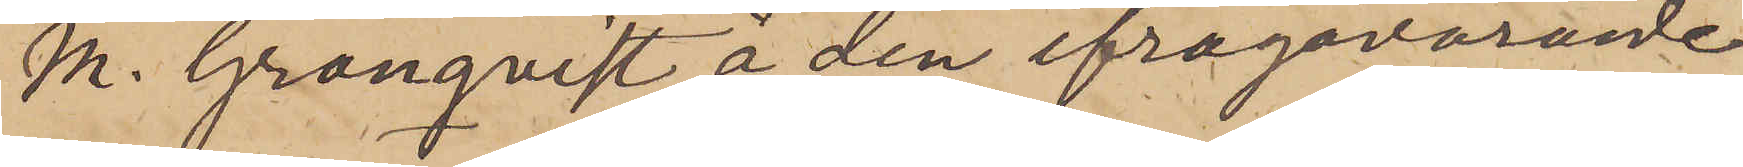M. Granqvist å den ifrågavarande
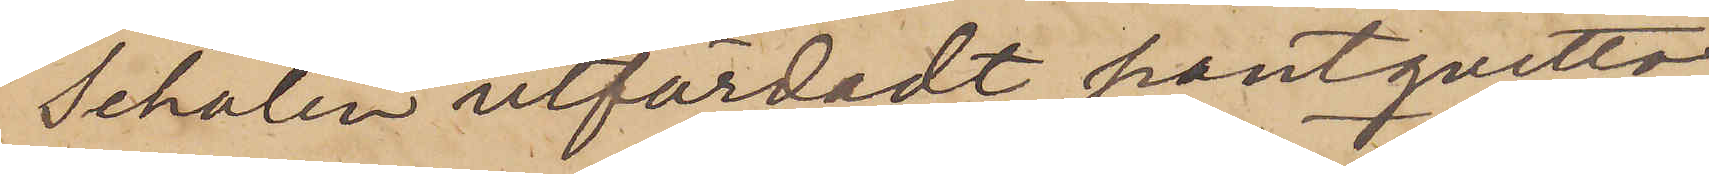Schalen utfärdadt pantqvitto,
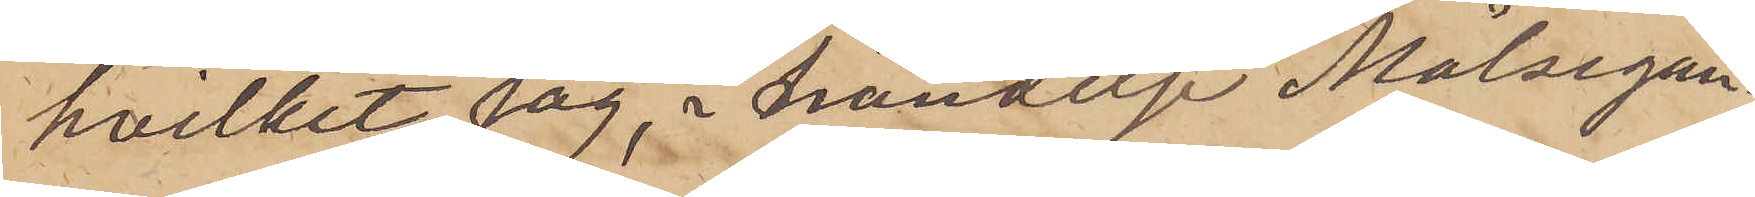hvilket jag, i händelse Målsegan¬
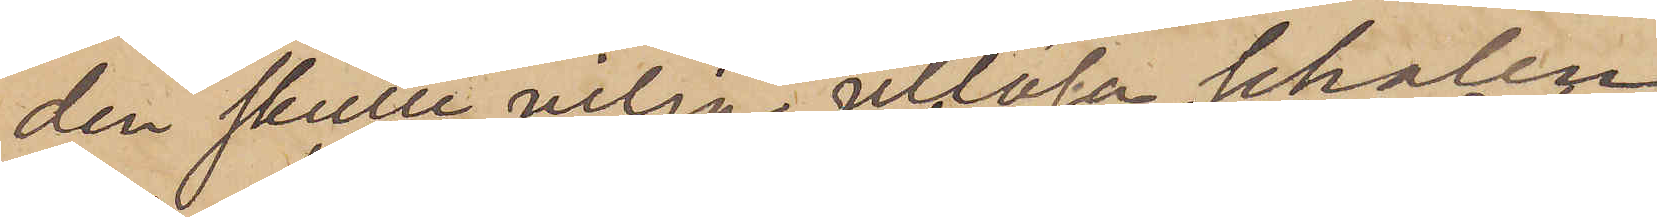den skulle vilja utlösa Schalen,
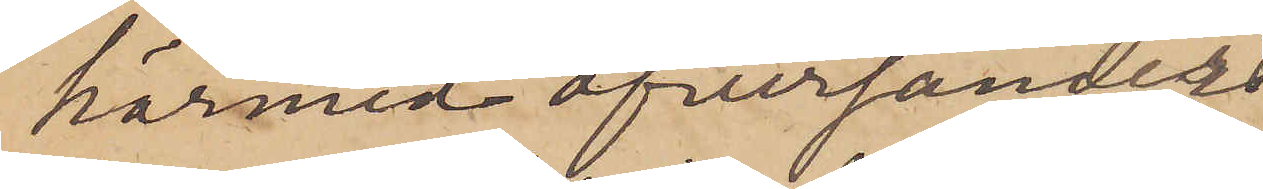härmed öfversänder
